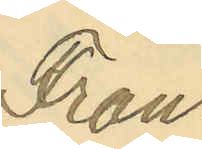Frans
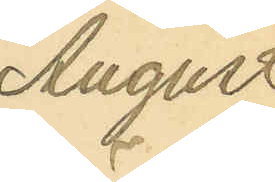August
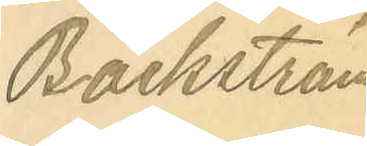Bäckström.
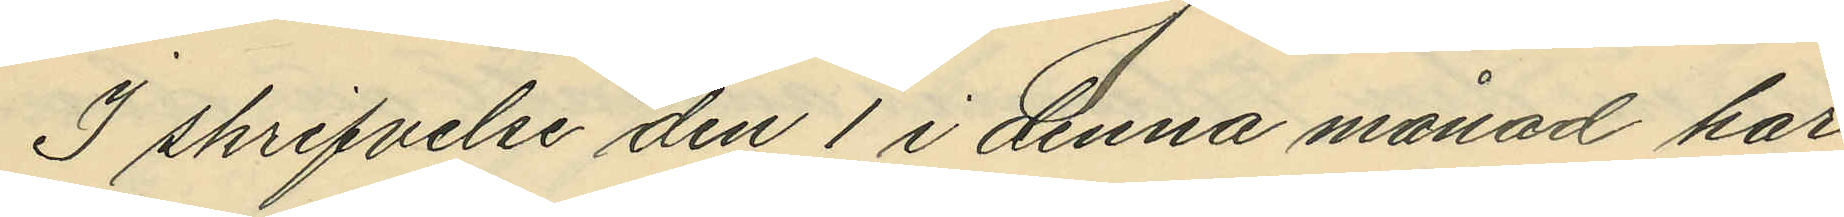I skrifvelse den 1 i denna månad har
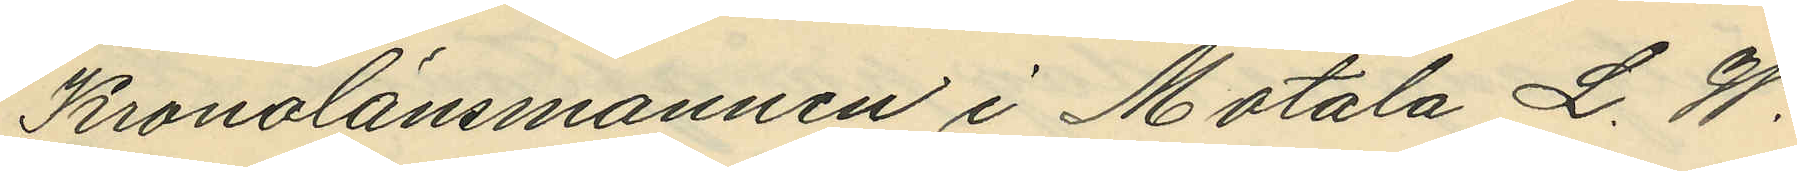Kronolänsmannen i Motala L. W.
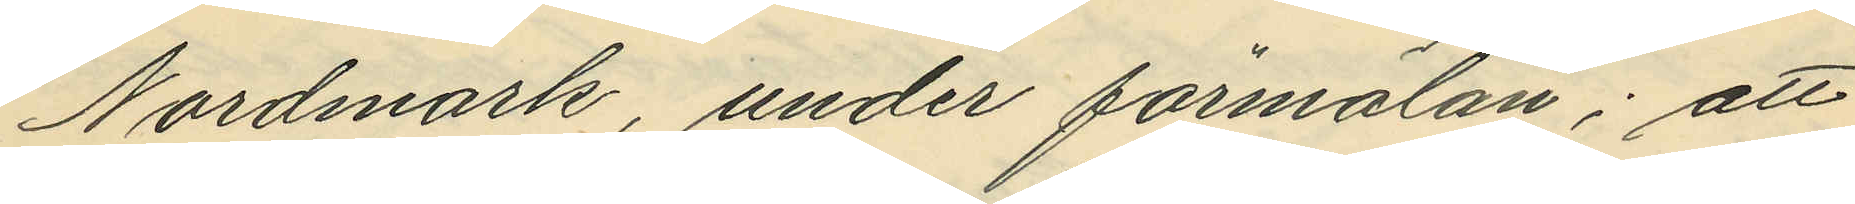Nordmark, under förmälan; att
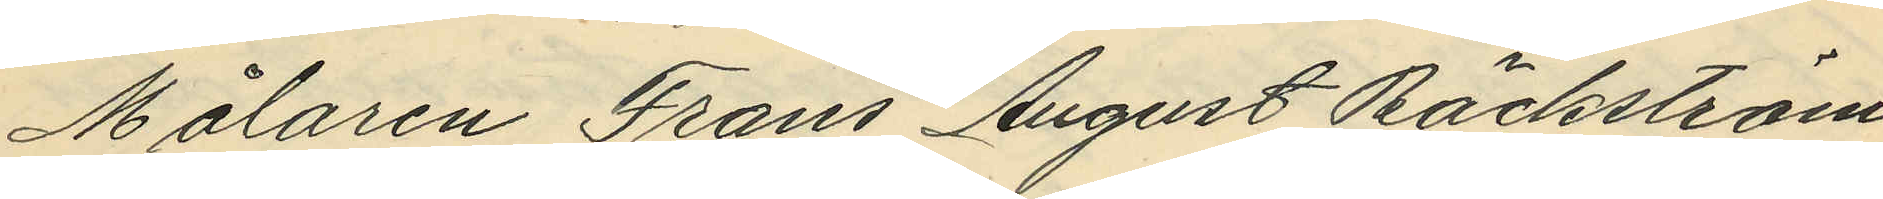Målaren Frans August Bäckström
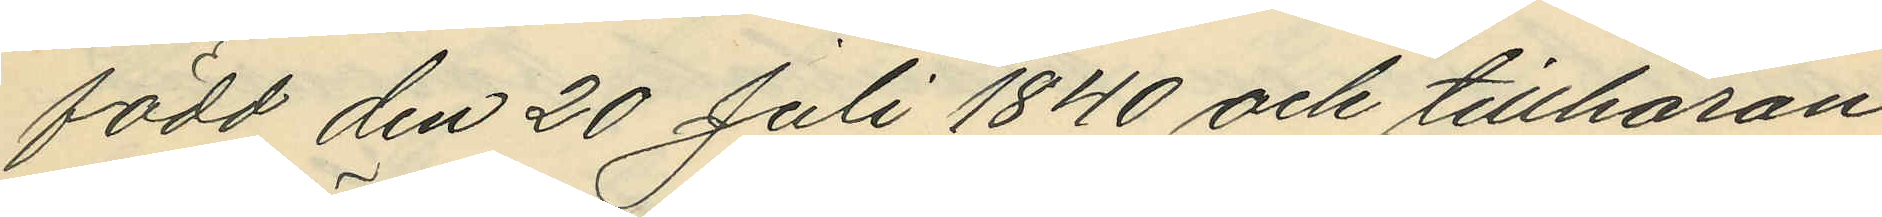född den 20 Juli 1840 och tillhöran¬
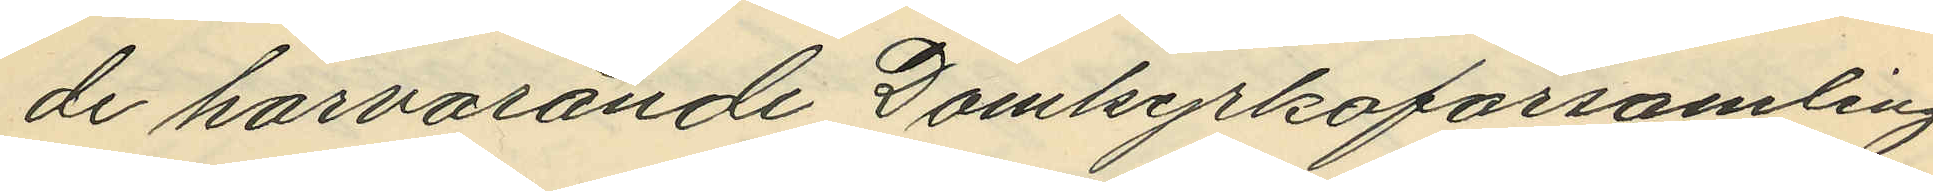de härvarande Domkyrkoförsamling
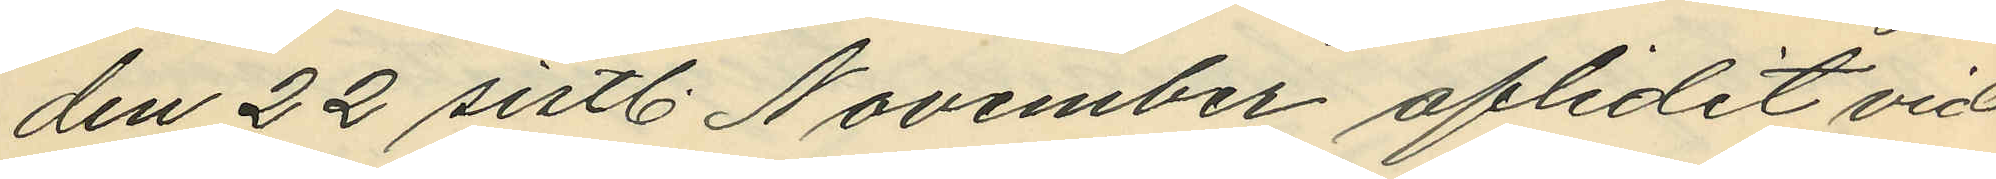den 22 sistl. November aflidit vid
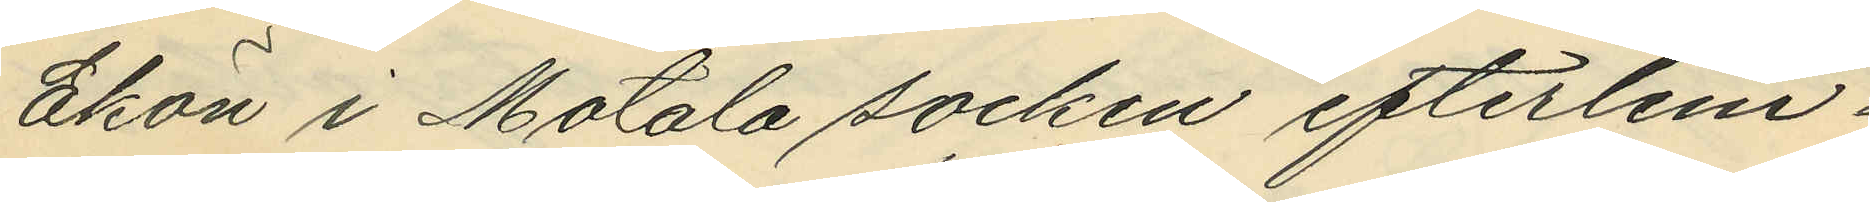Ekön i Motala socken efterlem¬
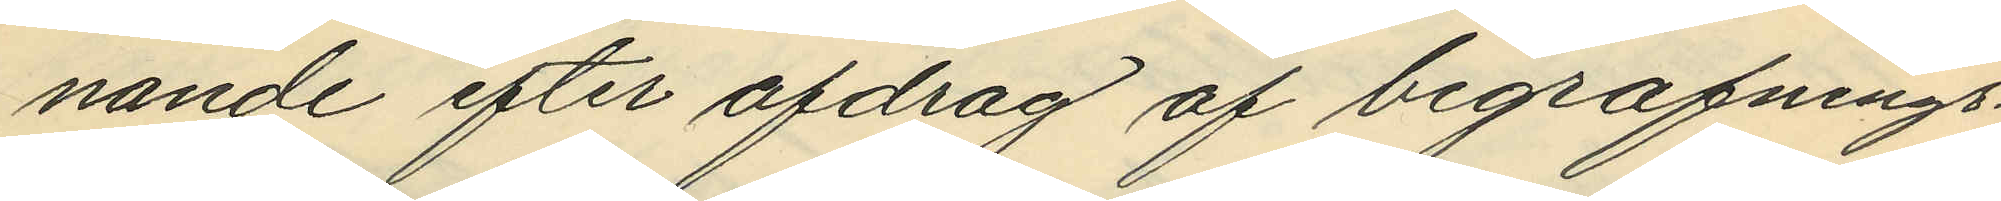nande efter afdrag af begrafnings¬
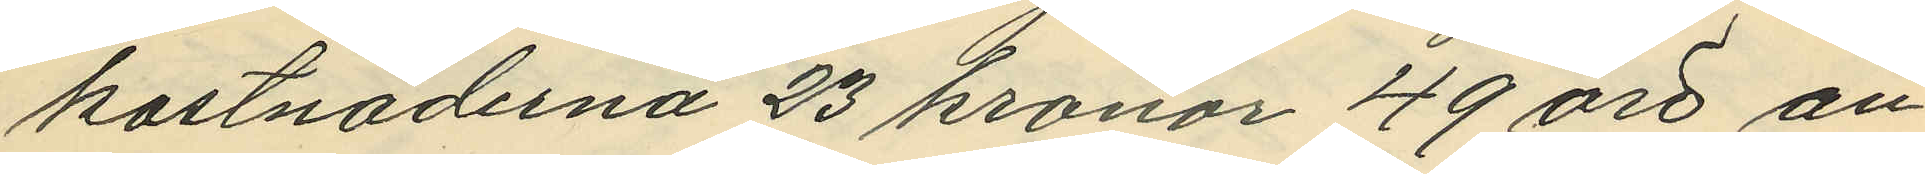kostnaderna 23 kronor 49 öre an¬
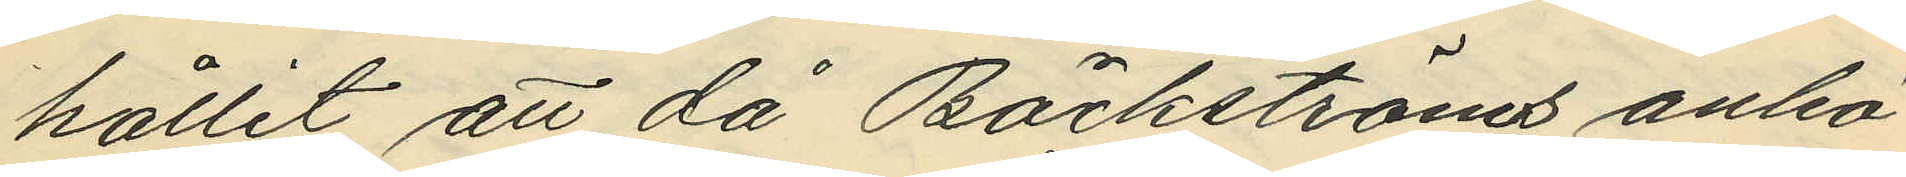hållit att då Bäckströms anhö¬
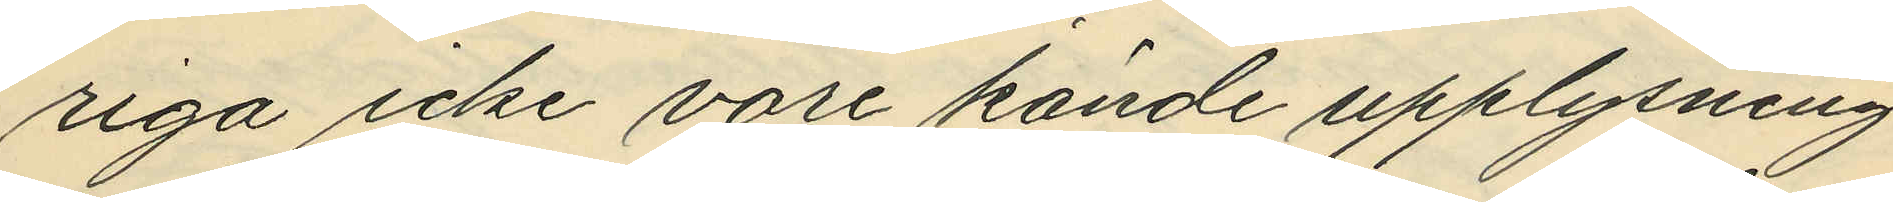riga icke vore kände upplysning
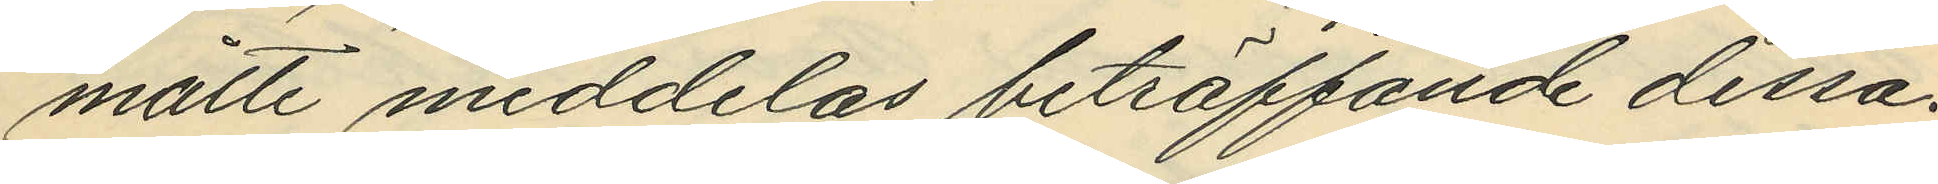måtte meddelas beträffande dessa.
